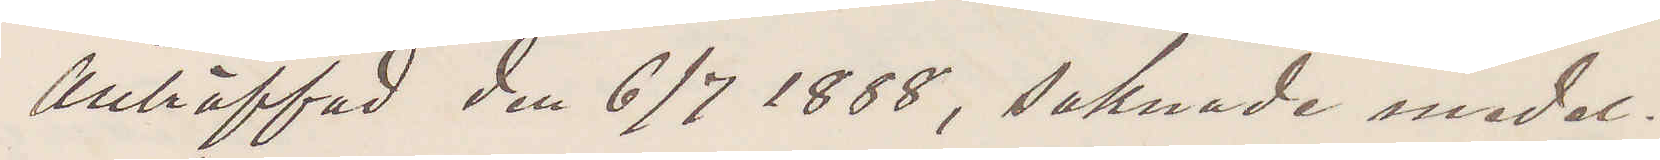Anträffad den 6/7 1888, saknade medel.
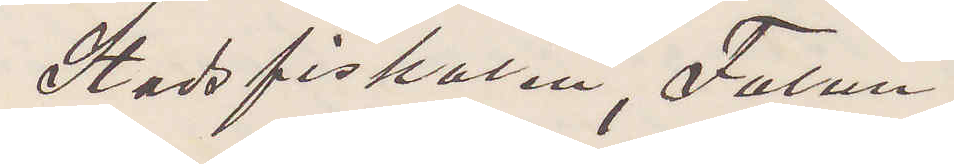Stadsfiskalen, Falun.
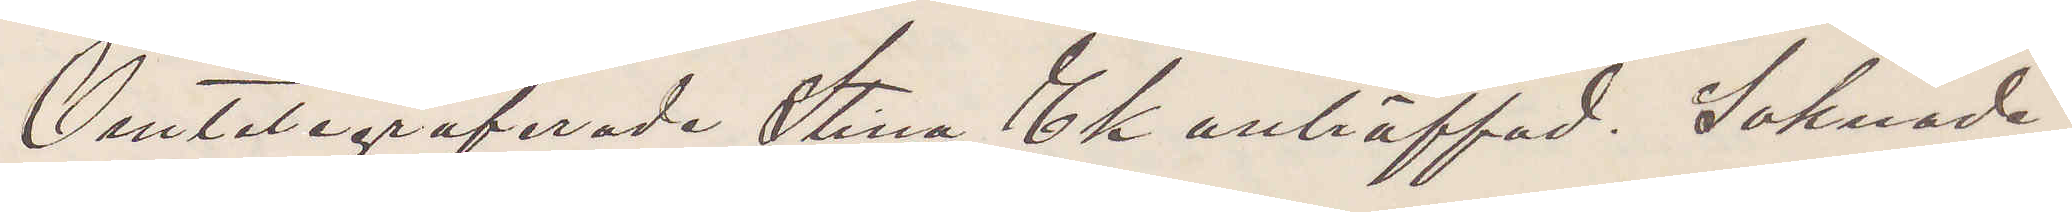Omtelegraferade Stina Ek anträffad. Saknade
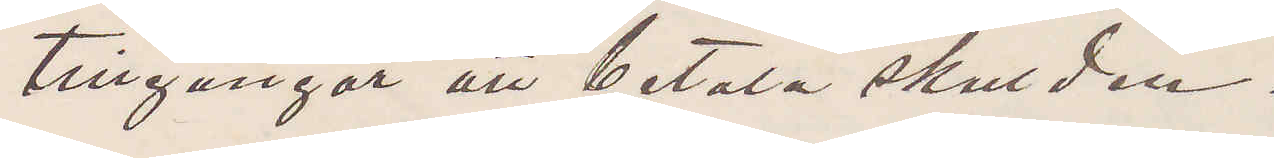tillgångar att betala skulden.
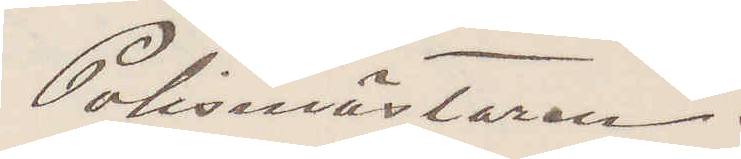Polismästaren.
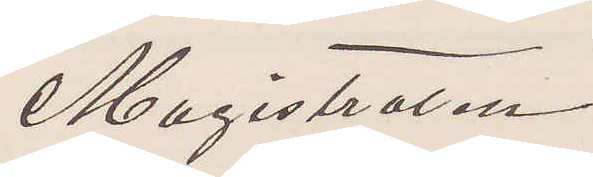Magistraten
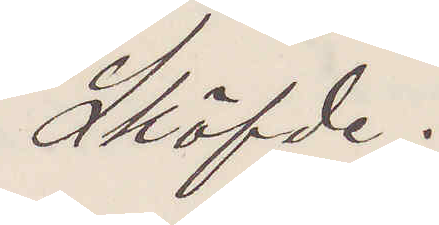Sköfde.
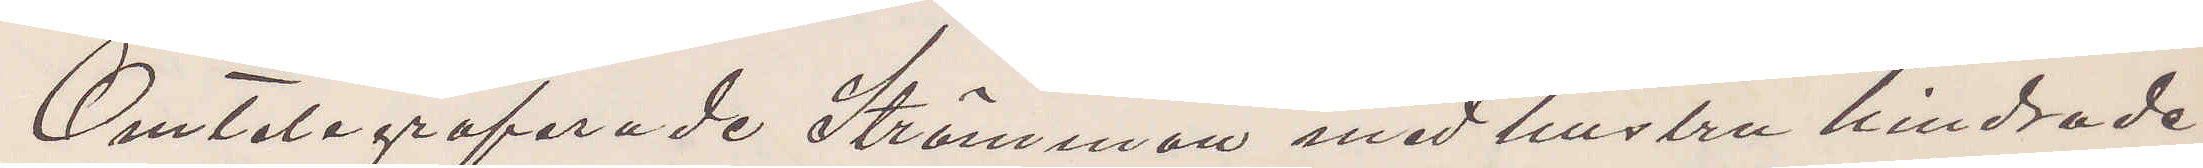Omtelegraferade Strömman med hustru hindrade
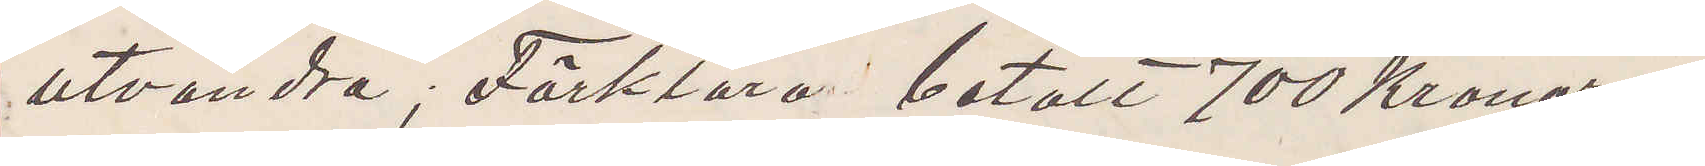utvandra; Förklara betalt 700 Kronor.
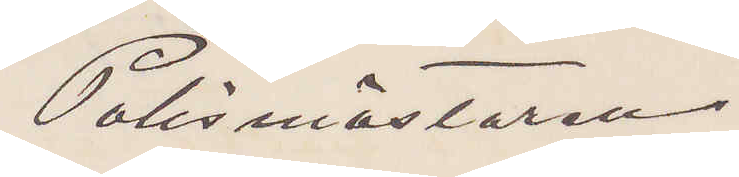Polismästaren.
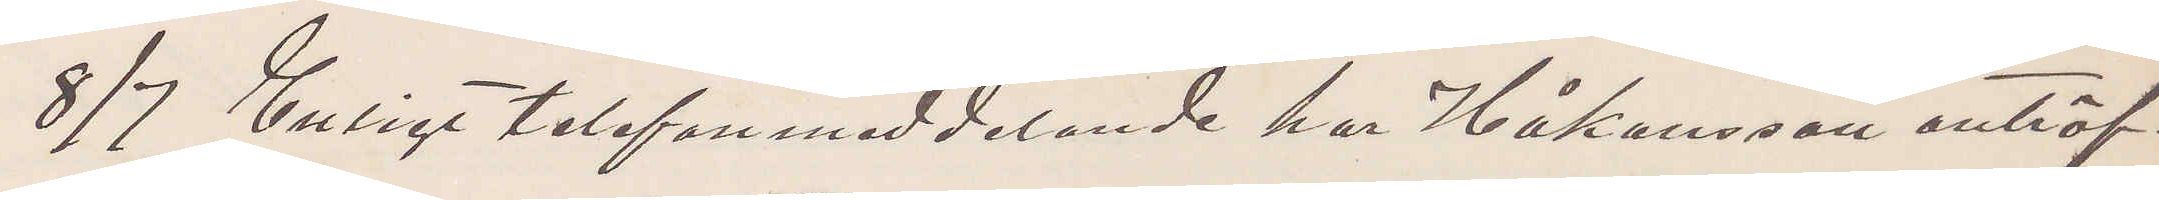8/7 Enligt telefonmeddelande har Håkansson anträf¬
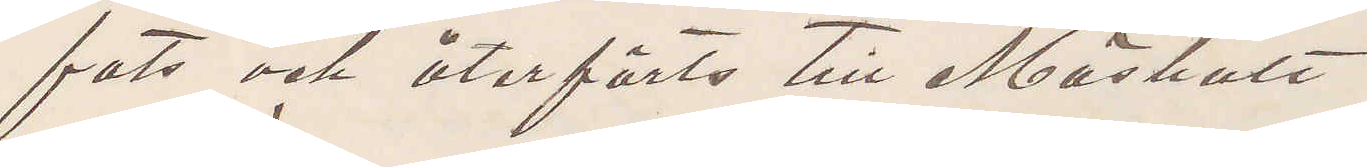fats och återförts till Mäshult.
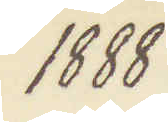1888.
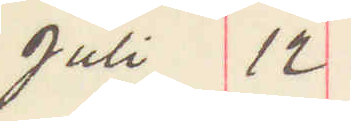Juli 12
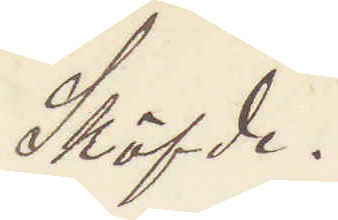Sköfde.
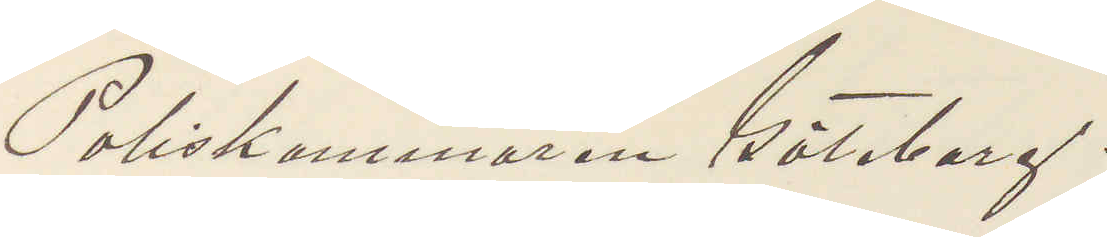Poliskammaren Göteborg.
